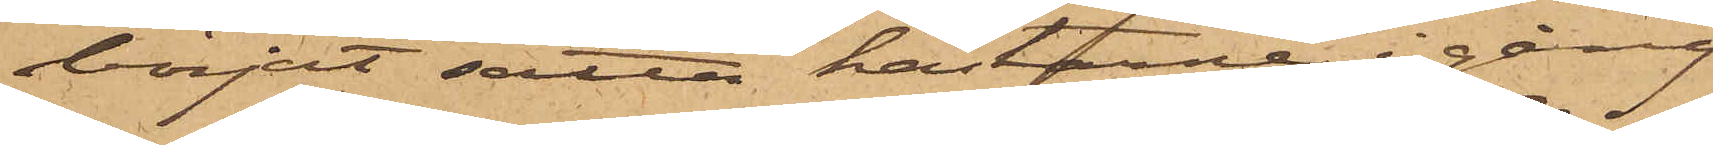börjat sätta hästarne i gång
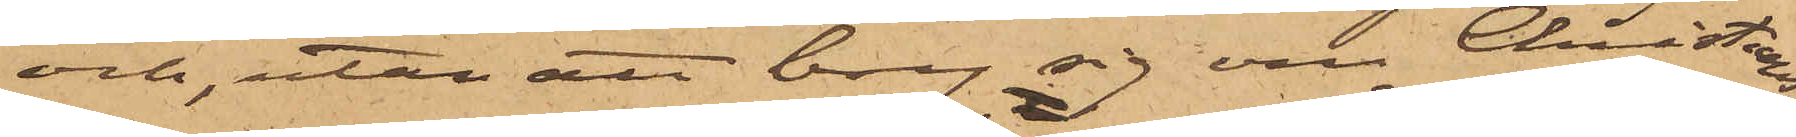och, utan att bry sig om Christians¬
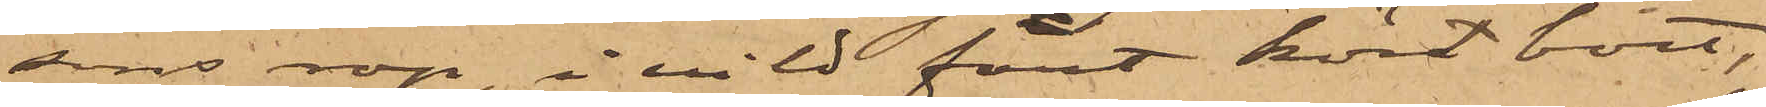sons rop, i vild fart kört bort,
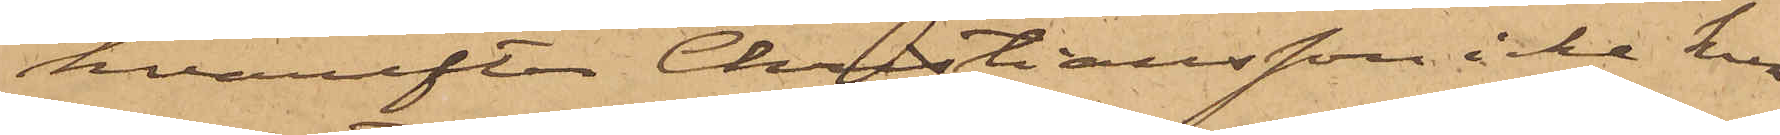hvarefter Christiansson icke kun¬
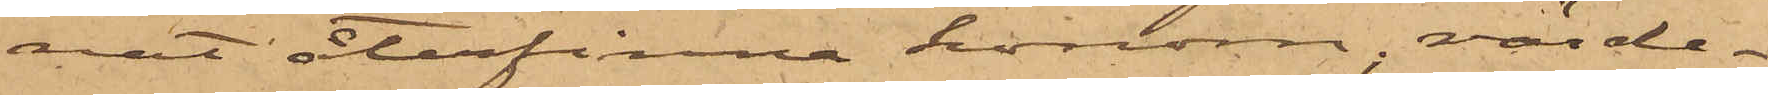nat återfinna honom, värde¬
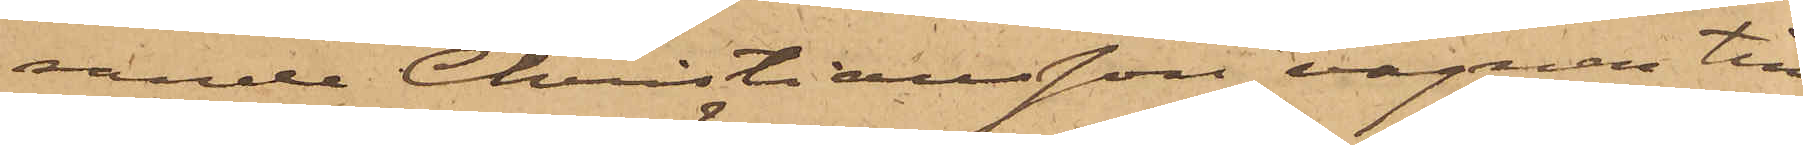rande Christiansson vagnen till
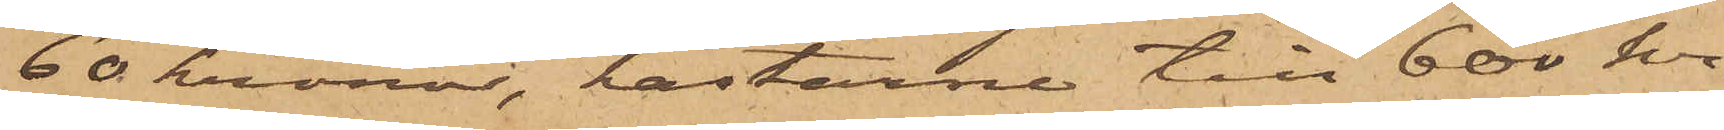60 kronor, hästarne till 600 kr,
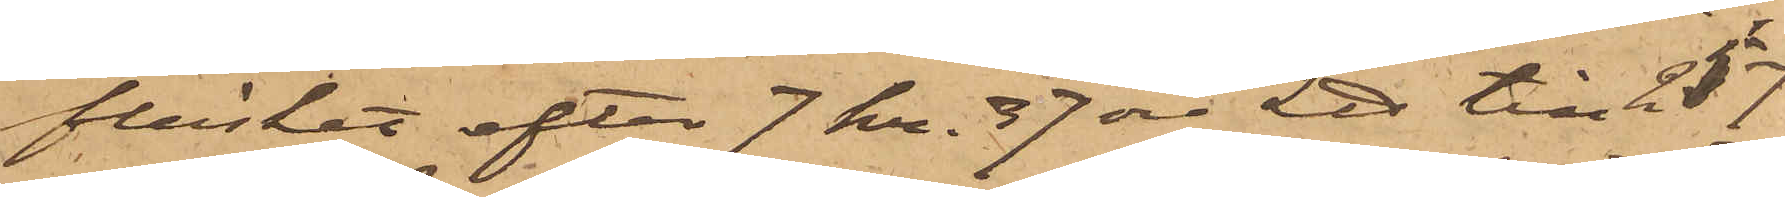fläsket efter 7 kr. 37 öre L℔ till 217
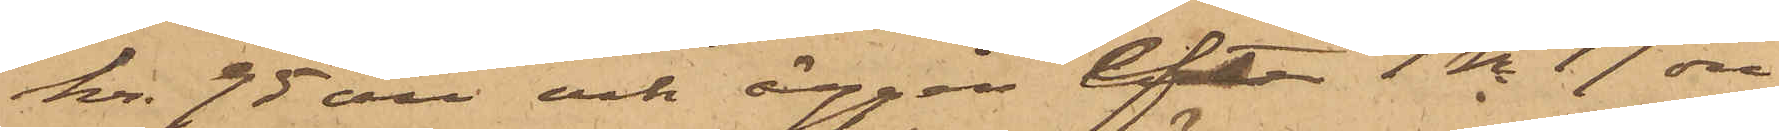kr 95 öre och äggen efter 1 kr 17 öre
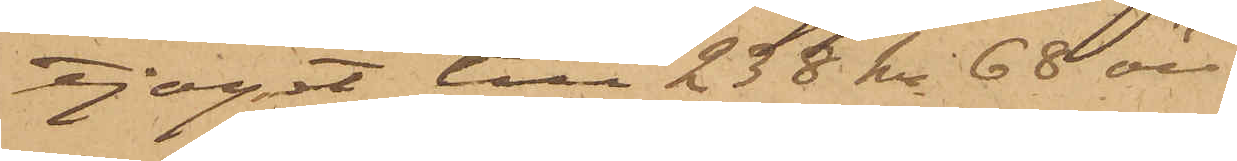 tjoget till 238 kr 68 öre.
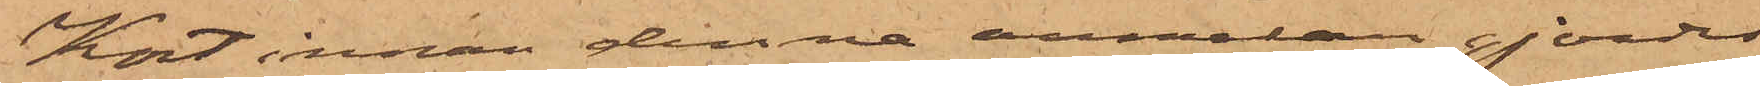Kort innan denna anmälan gjordes
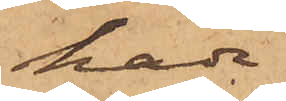hade
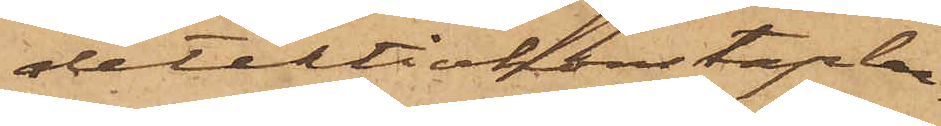detektivkonstaplar¬
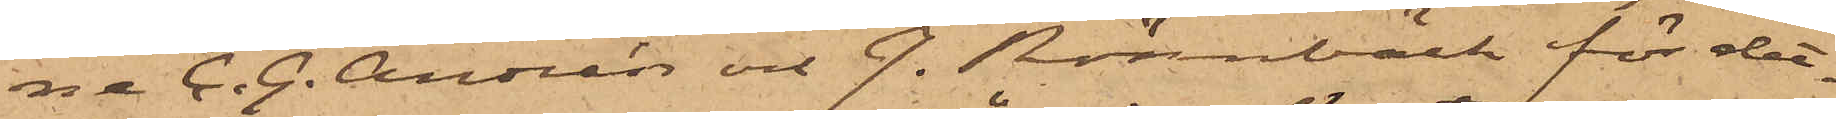ne C. G. Andrén och J. Rönnbäck för det¬
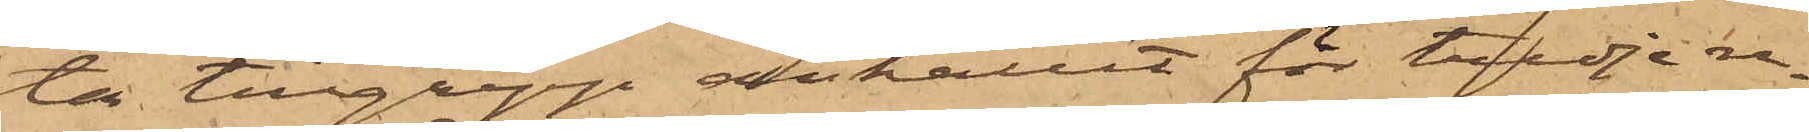ta tillgrepp anhållit för tredje re¬
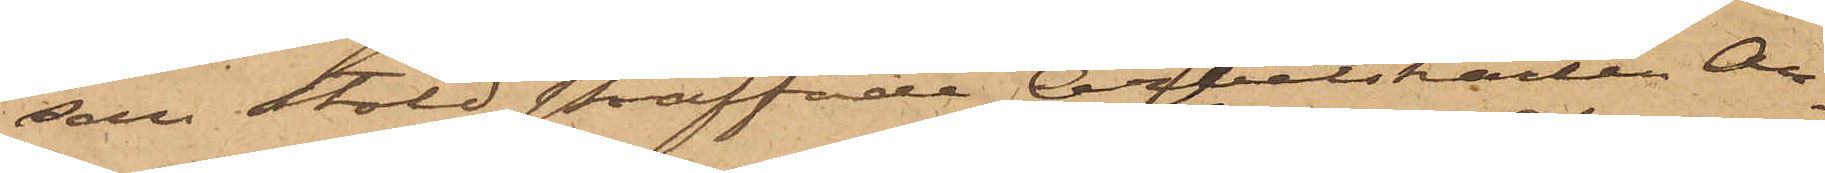san stöld straffade Arbetskarlen An¬
